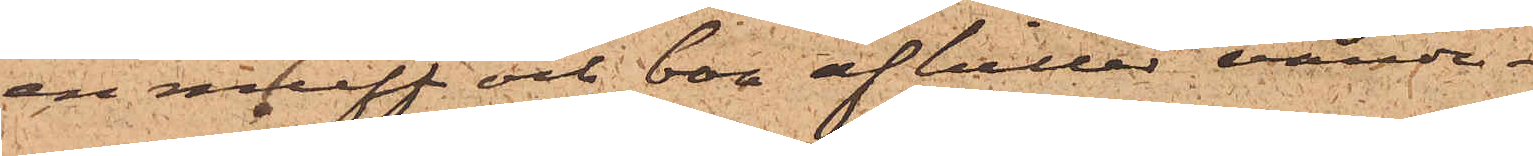en muff och boa af hiller värde
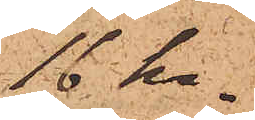16 kr.
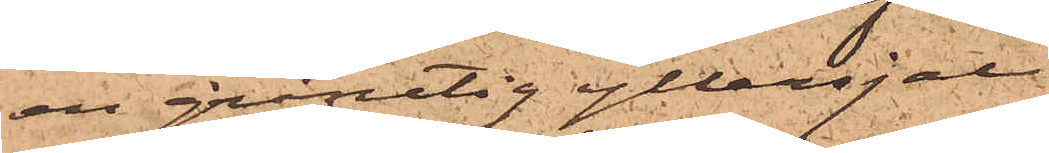en grårutig yllesjal
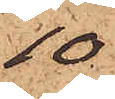10
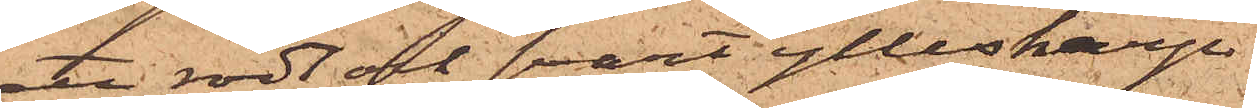ett rödt och svart ylleskärp
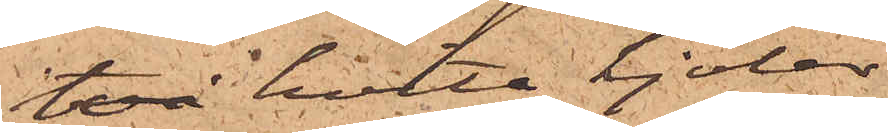två hvita kjolar
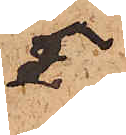5
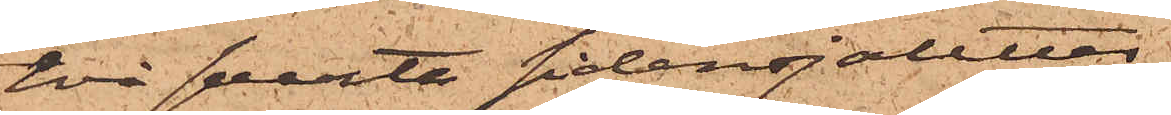två svarta sidensjaletter
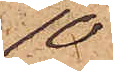10
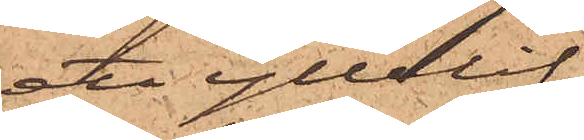ett yllelif
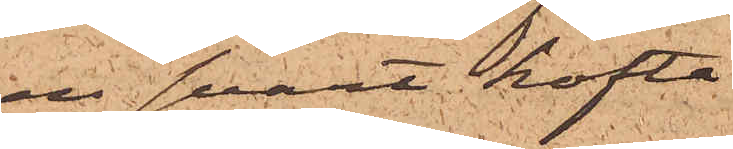en svart kofta
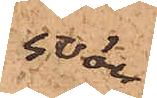50 öre
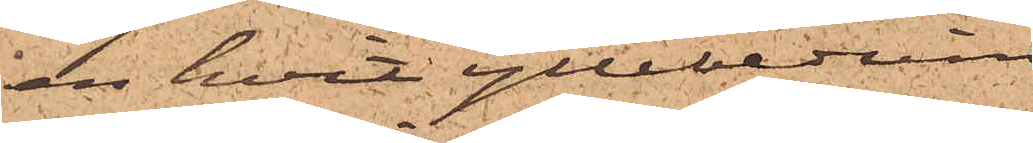en hvit yllebeduin
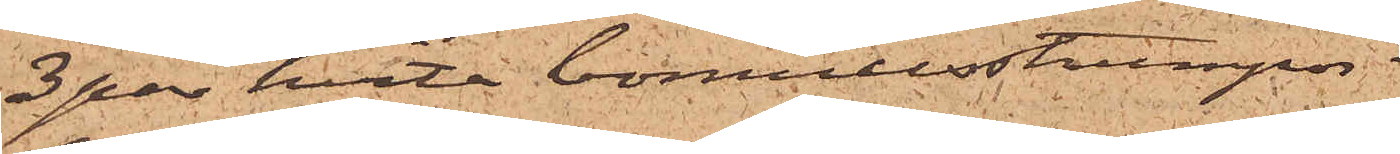3 par hvita bomullsstrumpor
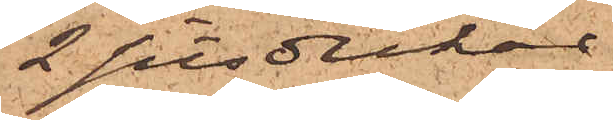2 sitsdukar
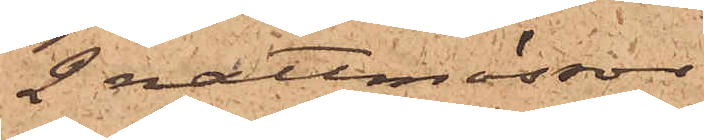2 nattmössor
